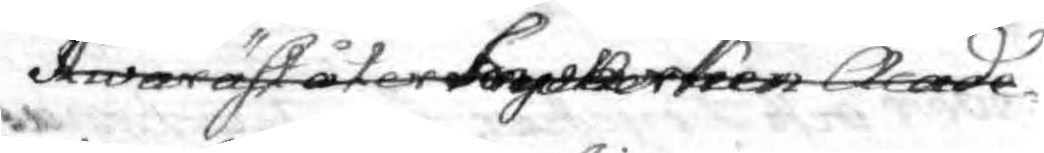Hwaräst åter hwarken Acade¬
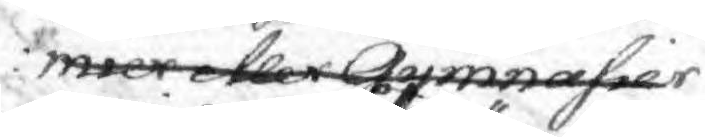mier eller Gymnasier
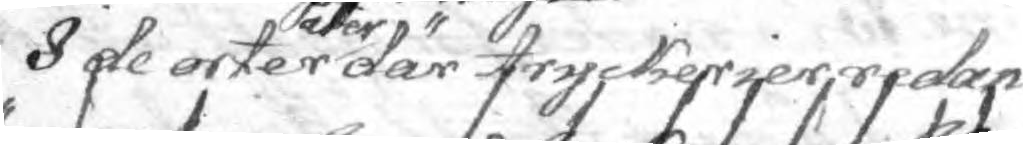I de orter åter där tryckerier redan
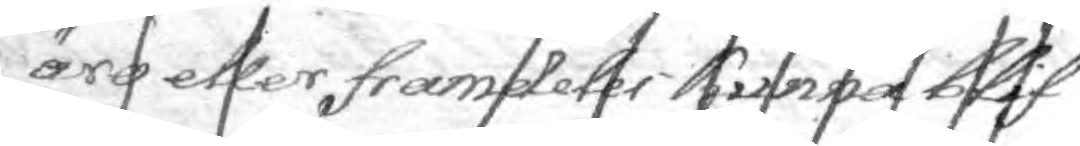äro eller framdeles kunna blif¬
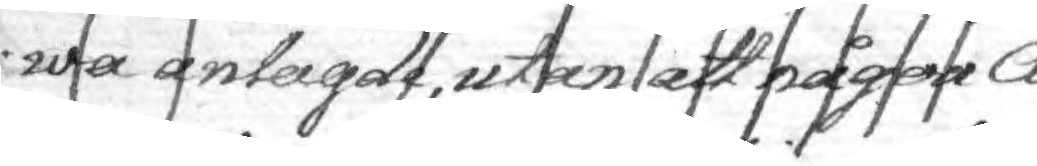wa anlagde, utan att någon A¬
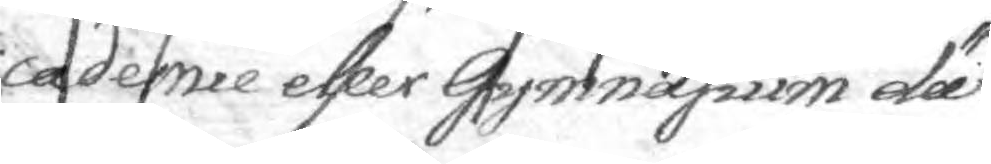cademie eller Gymnasium där 
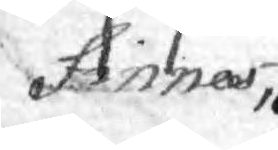finnas, 
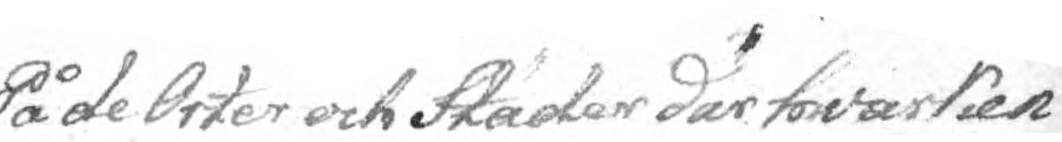På de Orter och Städer där hwarken 
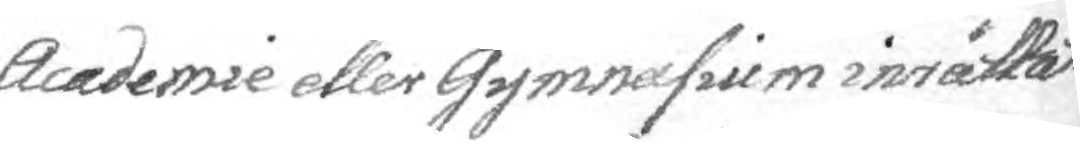Academie eller Gymnasium inrättat
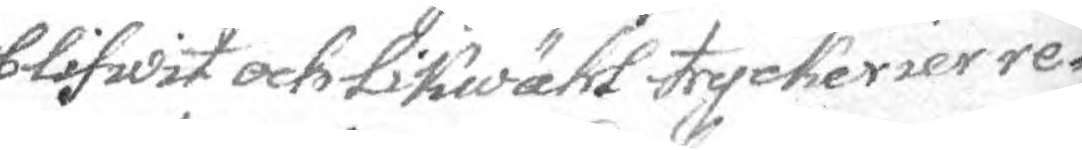blifwit och Likwähl tryckerier re¬
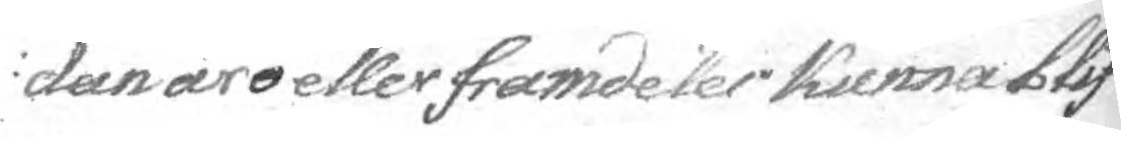dan äro eller framdeles kunna blif¬
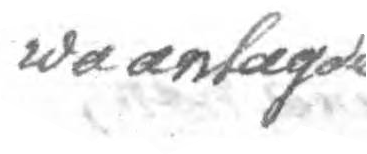wa anlagde
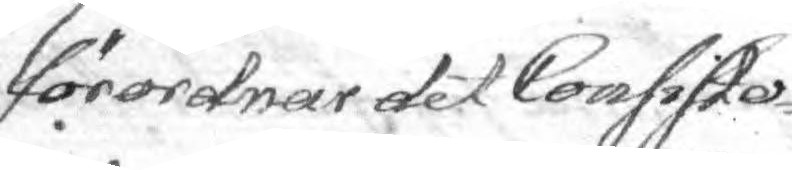förordnar det Consisto¬
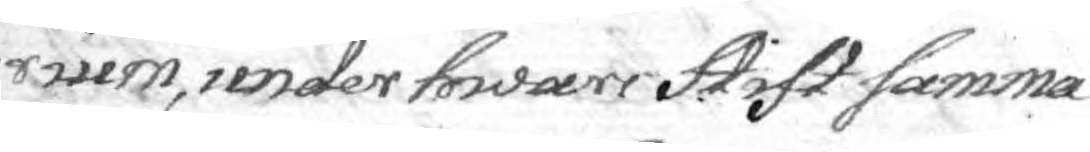rium, under hwars Stift samma
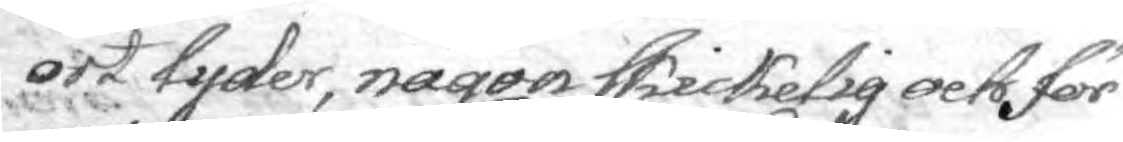ort lyder, någon skickelig och för
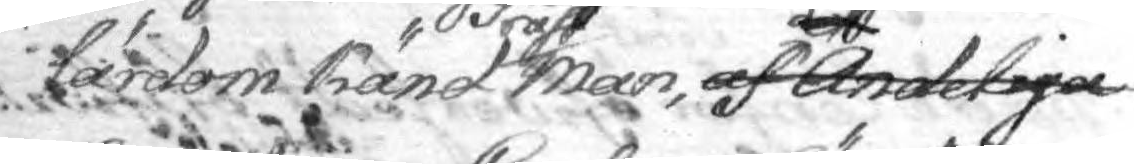lärdom känd Präst man, af det Andeliga
